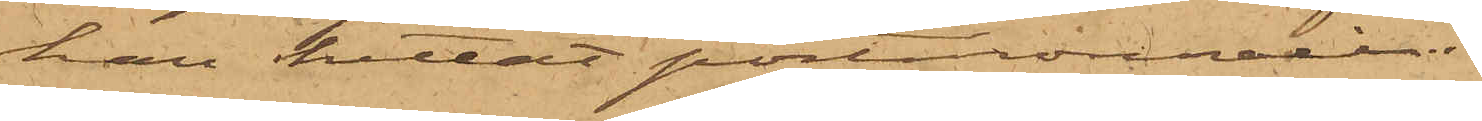han hittat portmonnaien.
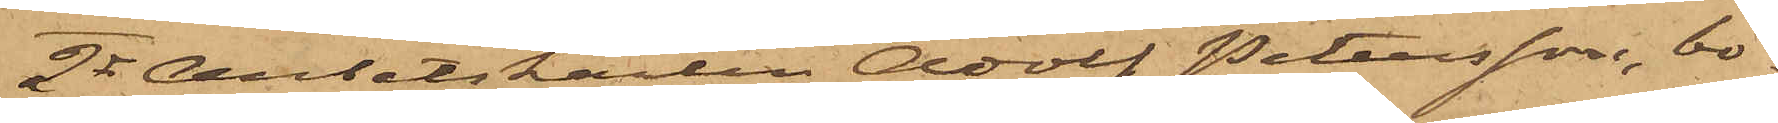2o Arbetskarlen Adolf Petersson, bo¬
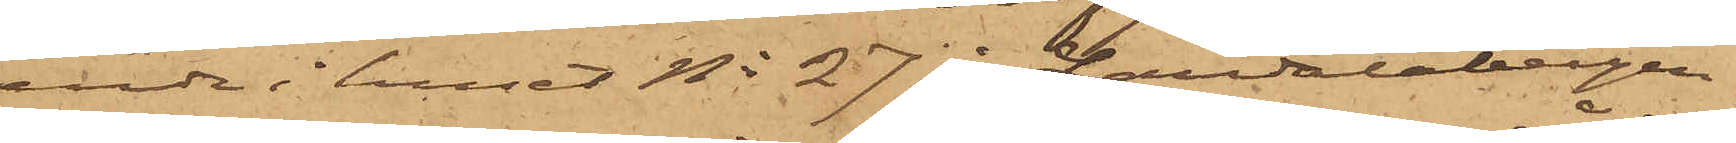ende i huset No 27 i Landalabergen
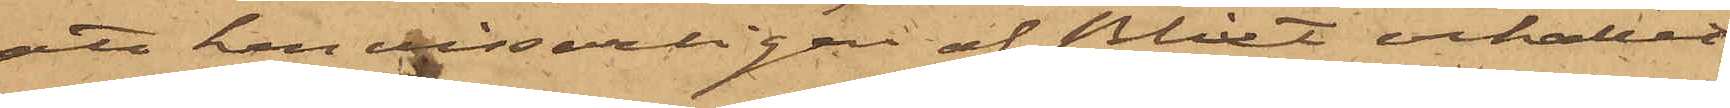att han visserligen af Blixt erhållit
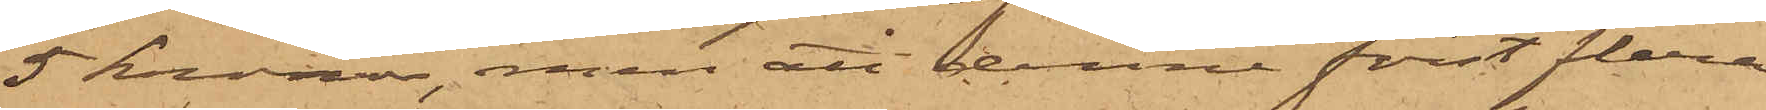5 kronor, men att denne först flera
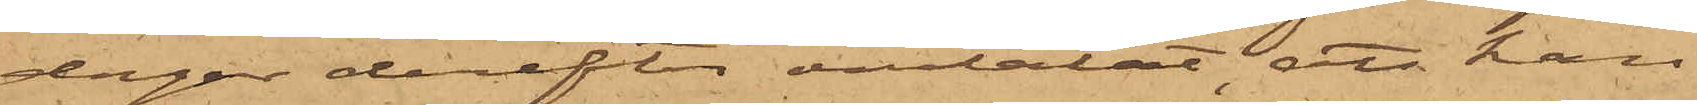dagar derefter omtalat att han
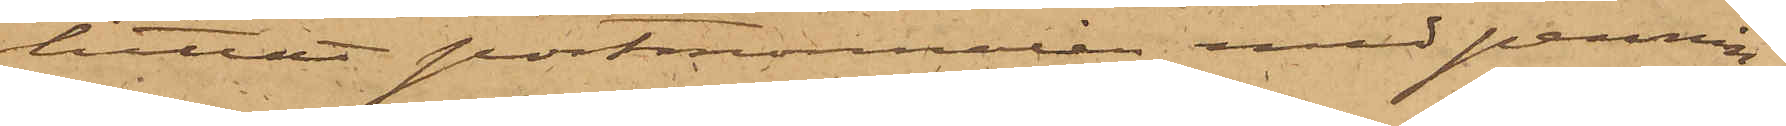hittat portmonnaien med pennin¬
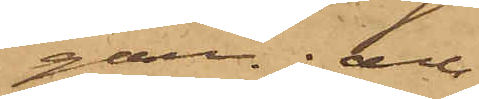gar; och
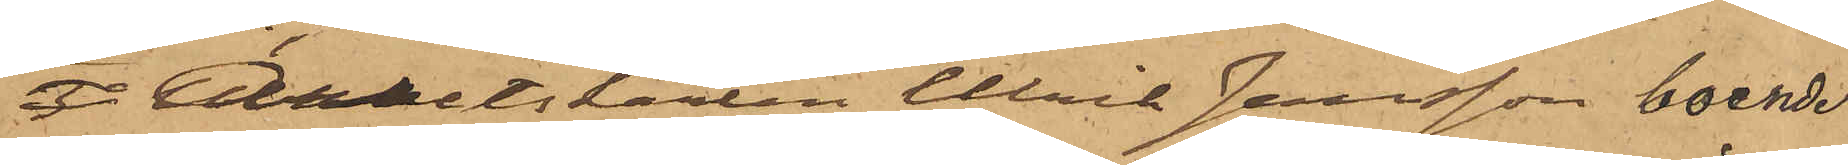3o Arbetskarlen Ulrik Jansson, boende
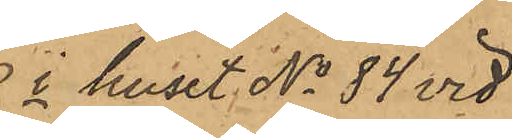 i huset No 34 vid
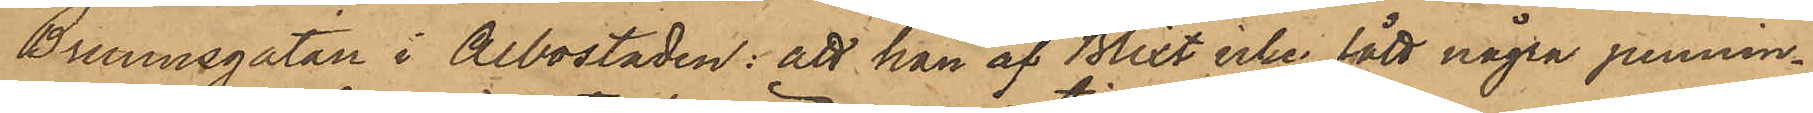Brunnsgatan i Albostaden: att han af Blixt icke fått några pennin¬
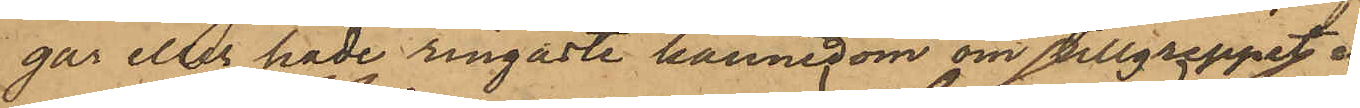gar eller hade ringaste kännedom om tillgreppet.
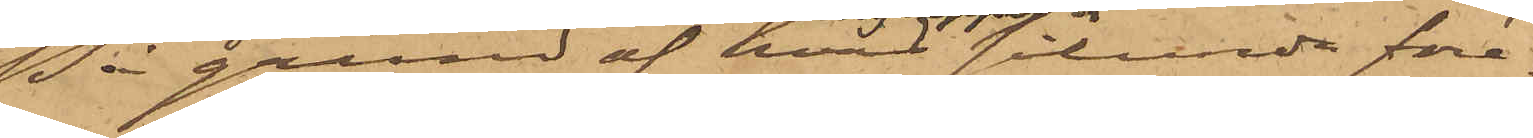På grund af hvad sålunda före¬
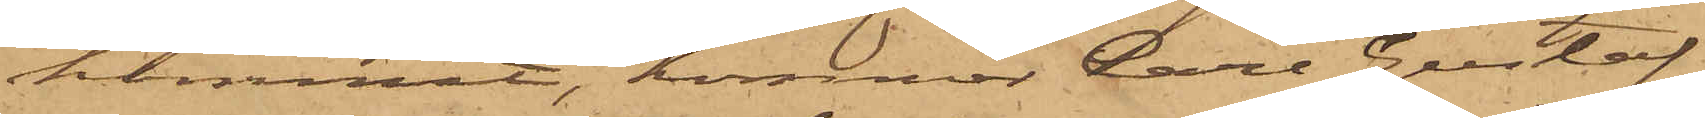kommit, kommer Carl Gustaf
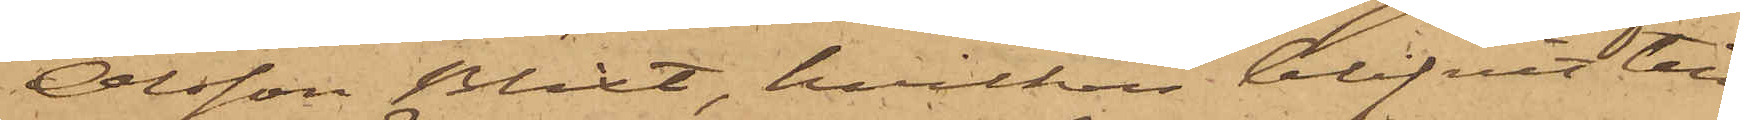Olsson Blixt, hvilken blifvit till
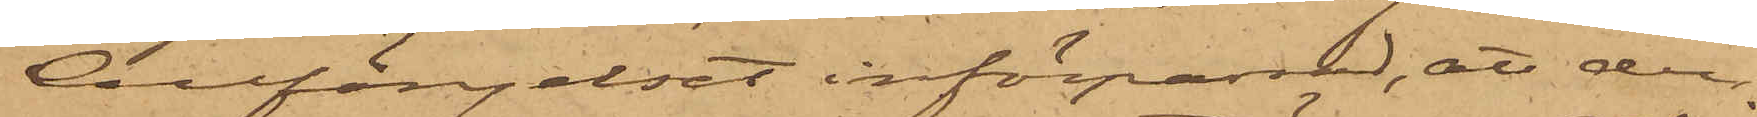Cellfängelset införpassad, att den¬
